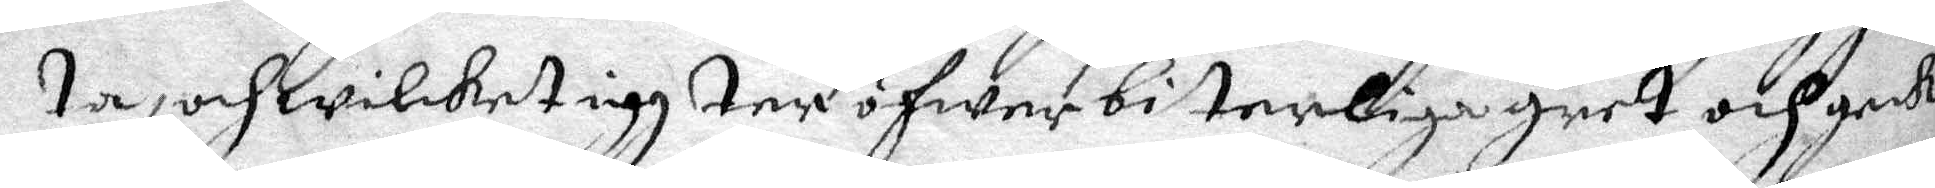ta, och wilket iag ter öfwer biterliga gret och gick
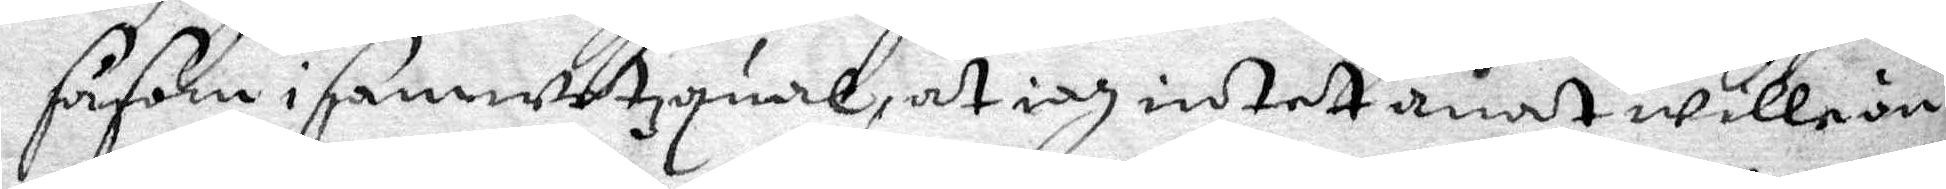såsom i samwetzqual, at iag intet anat wille än
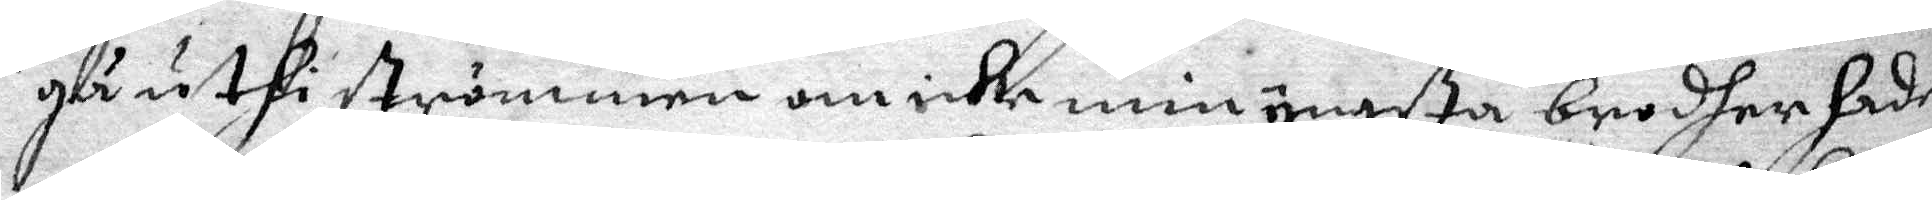gå uthi strömmen om icke min yngsta brodher hade
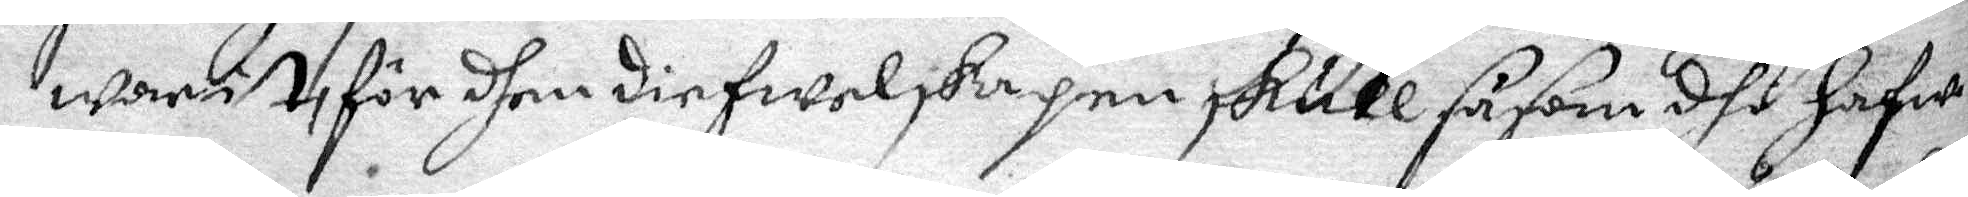warit, för dhem diefwelskapen skull såsom dhe hafwa
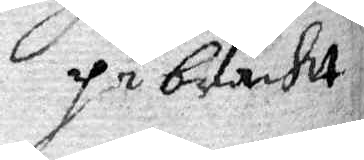påbracht
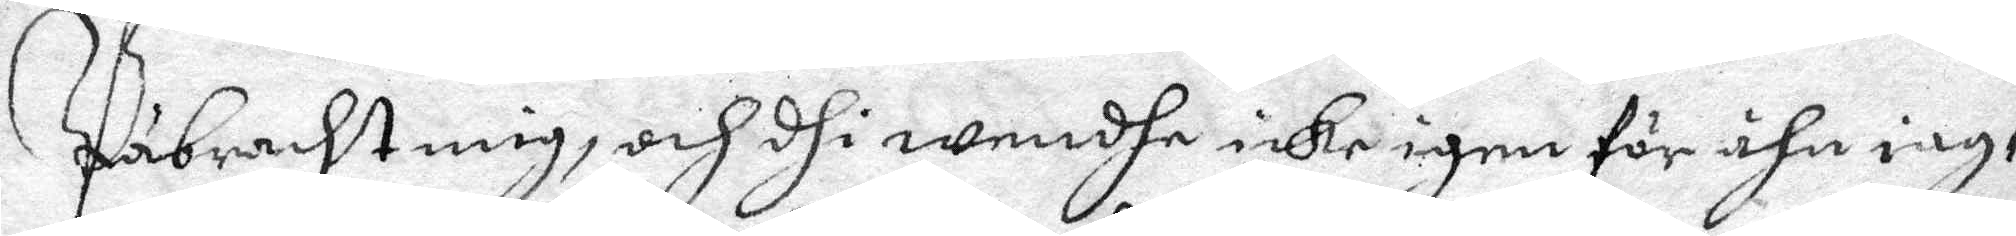Påbracht mig, och dhi wendhe icke igen för ähn iag,
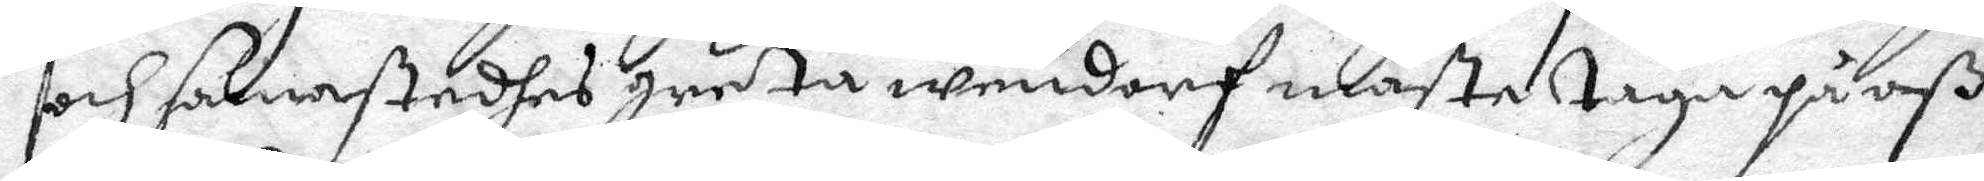och samastedhes greta wendorf mäste tage på oß
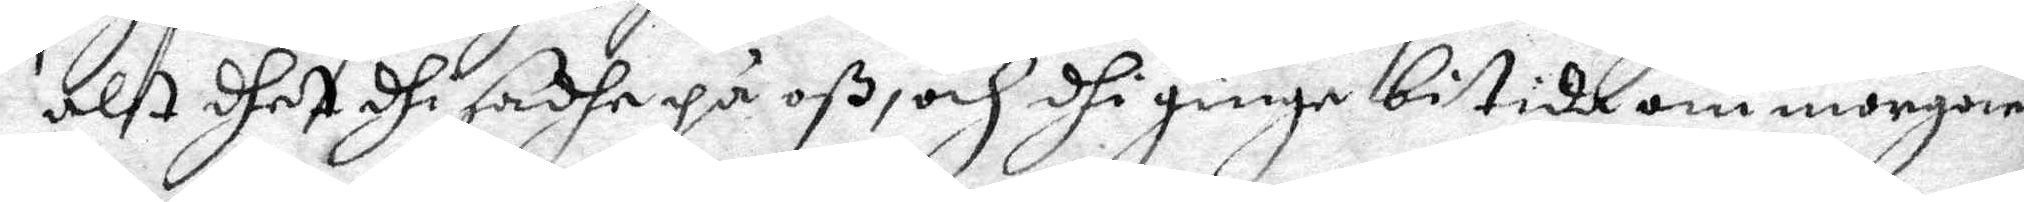alt dhet dhi sadhe på oß, och dhi ginge bitida om morgonen
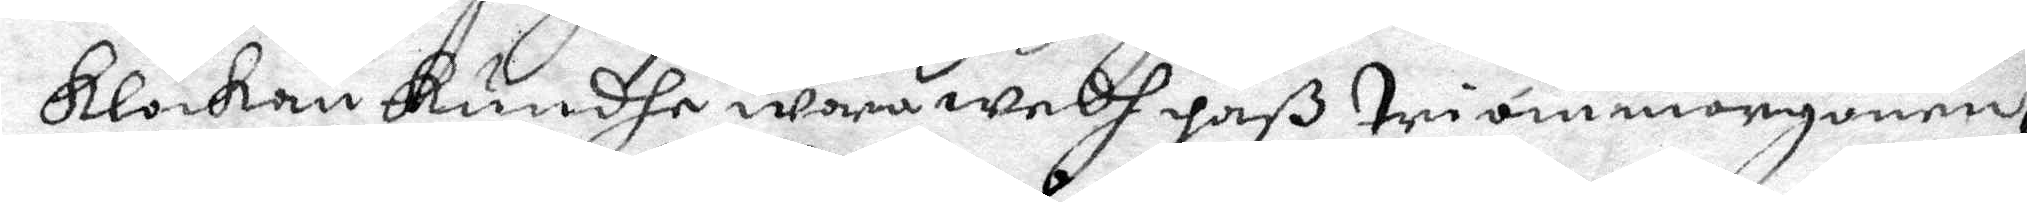klockan kundhe wara wedh paß tri om morgonen,
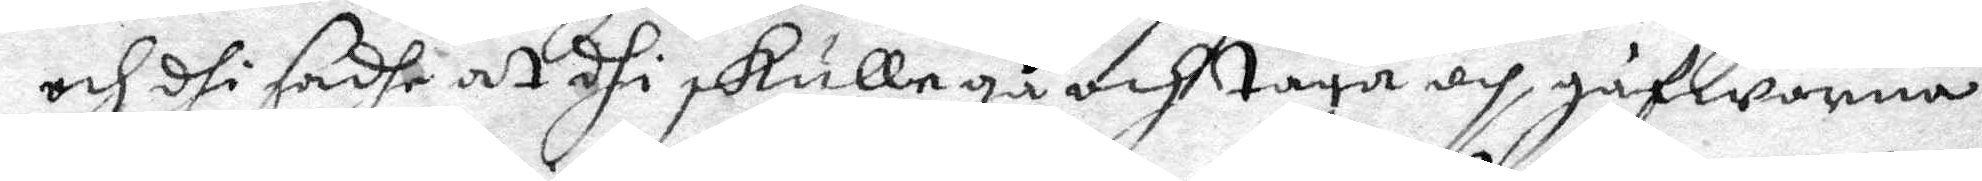och dhi sadhe at dhi skulle gå och taga och gåfworna
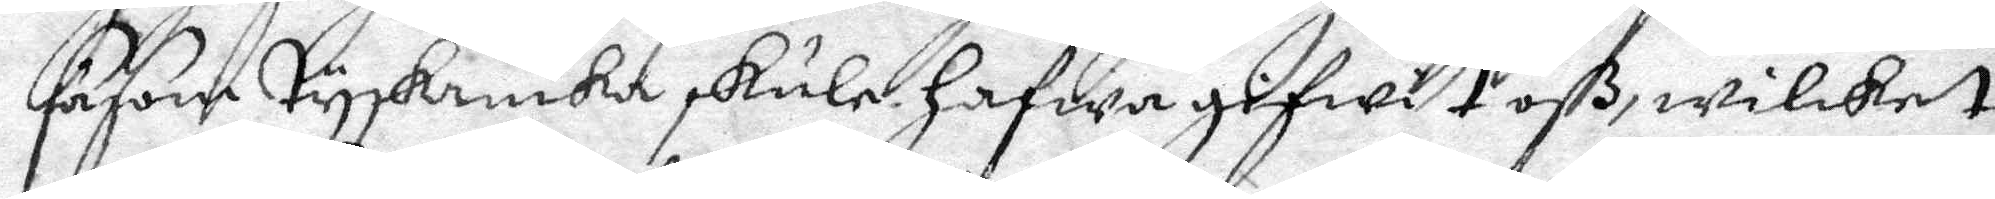såsom tyskanika skule hafwa gifwit oß, wilket
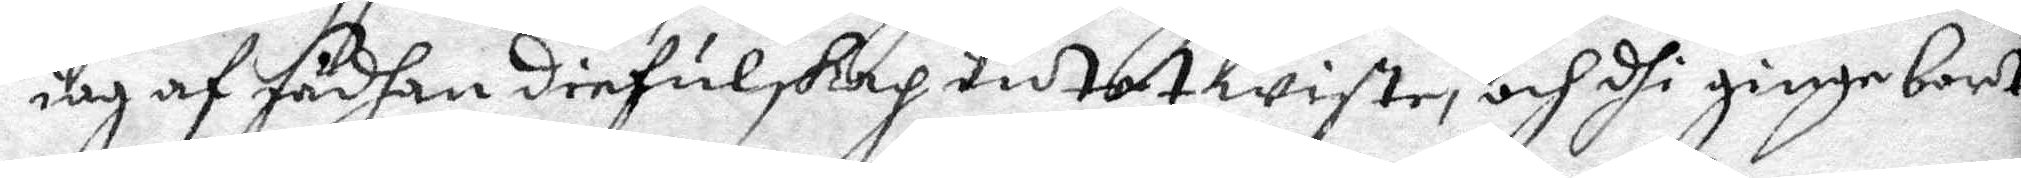iag af sådhan diefulskap intet wiste, och dhi ginge bort
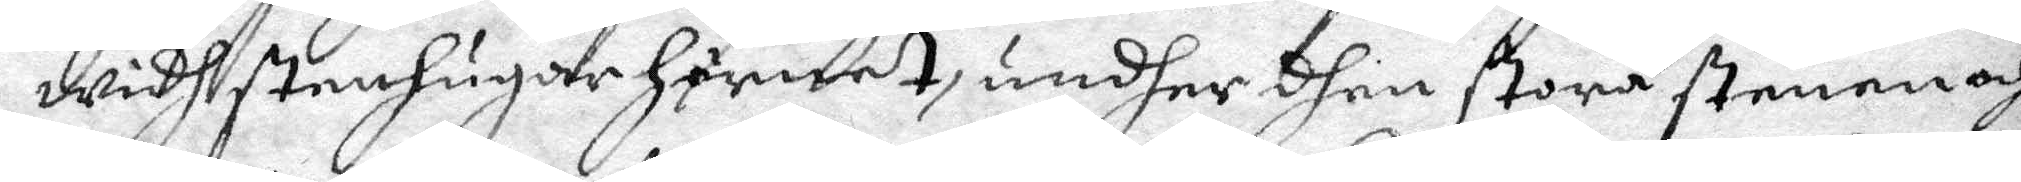widh stenhugar hörnet, undher dhen stora stenen och
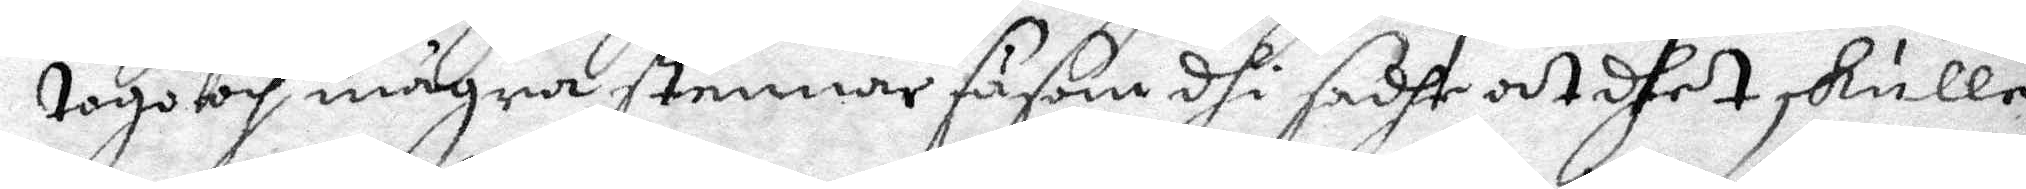togo och många stenar såsom shi sadhe at dhet skulle
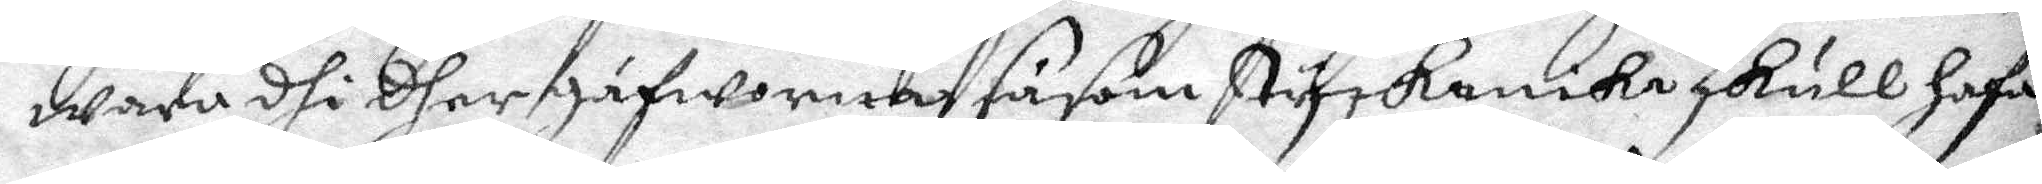wara dhi dher gåfworna såsom tyskanika skull hafa
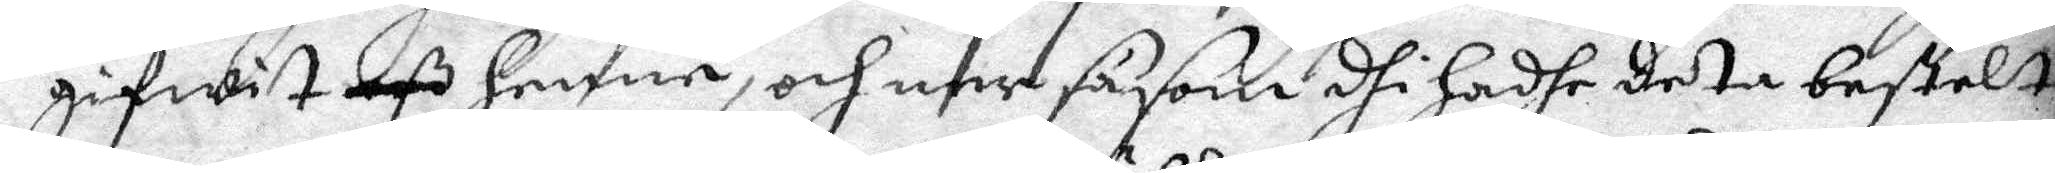gifwit oß henne, och ner såsom dhi hadhe deta bestelt
